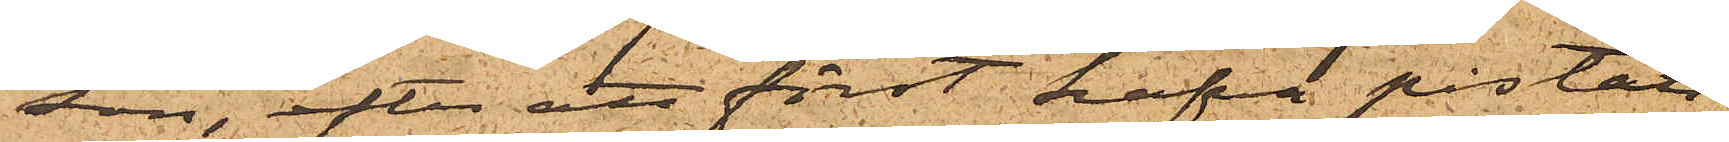son, efter att först hafva påstått
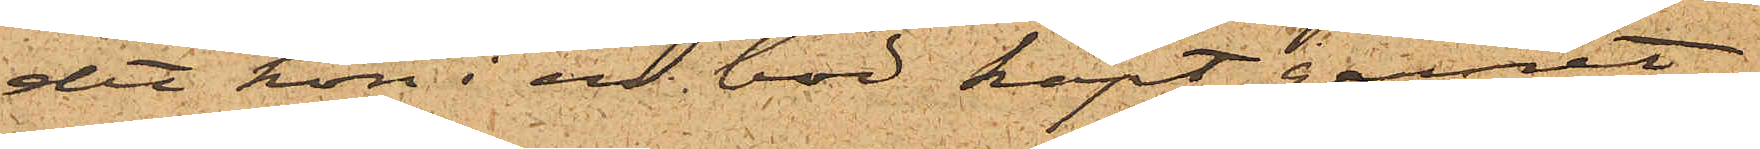det hon i en bod köpt garnet,
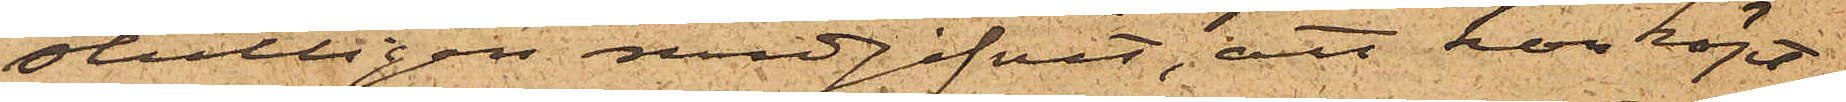slutligen medgifvit, att hon köpt
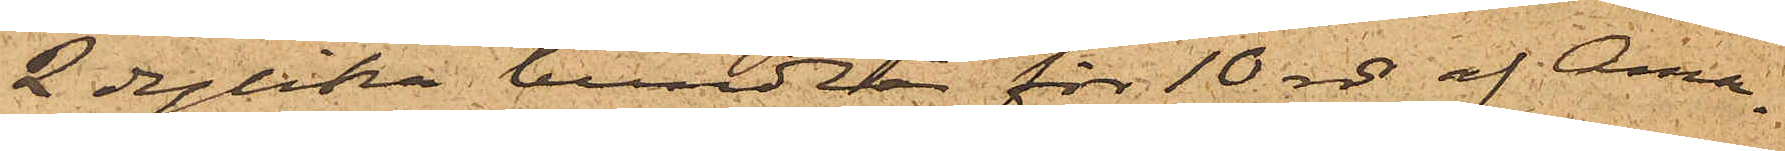2 dylika bundtar för 10 rdr af Ama¬
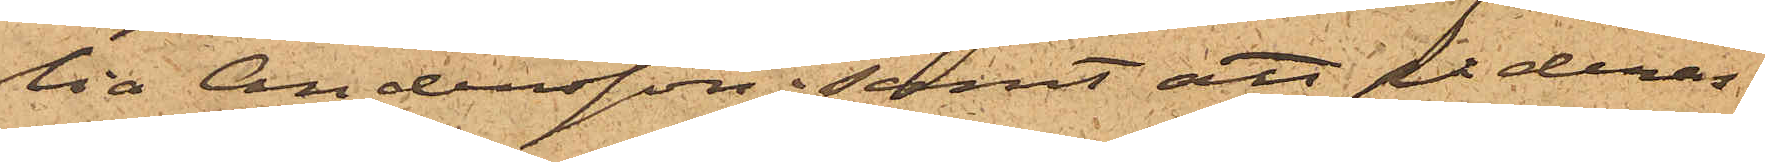lia Andersson; samt att på deras
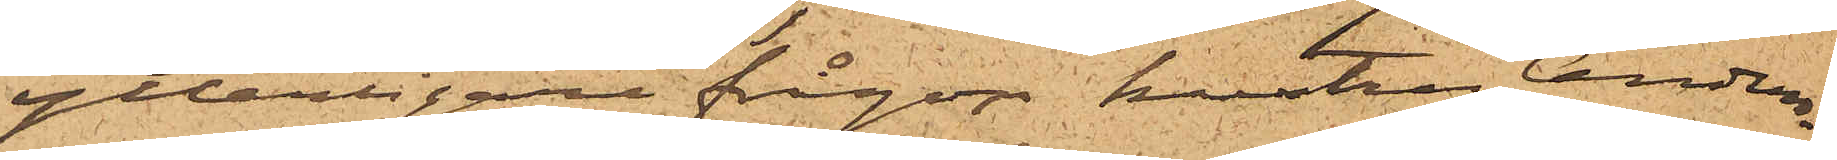ytterligare frågor hustru Anders¬
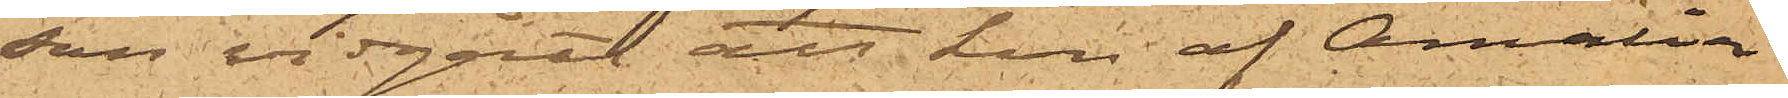son vidgått att hon af Amalia
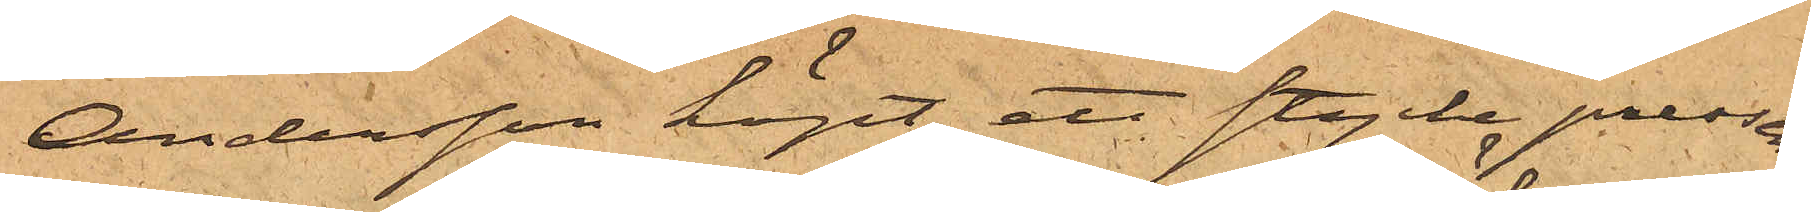Andersson köpt ett stycke presen¬
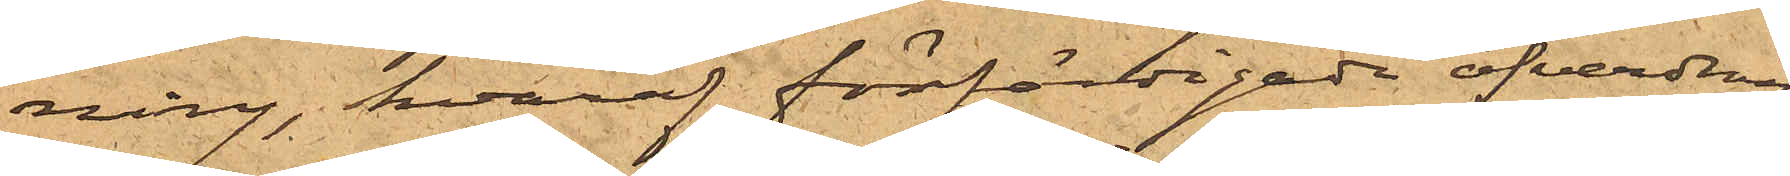ning, hvaraf förfärdigade öfverdrag
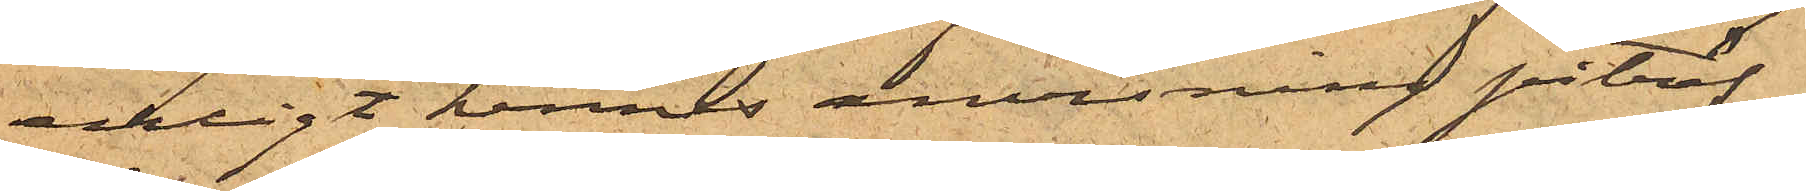enligt hennes anvisning påträf¬
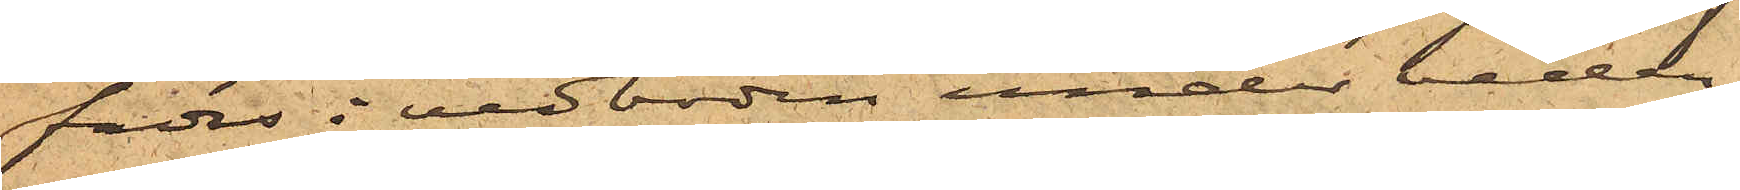fades i vedboden under veden,
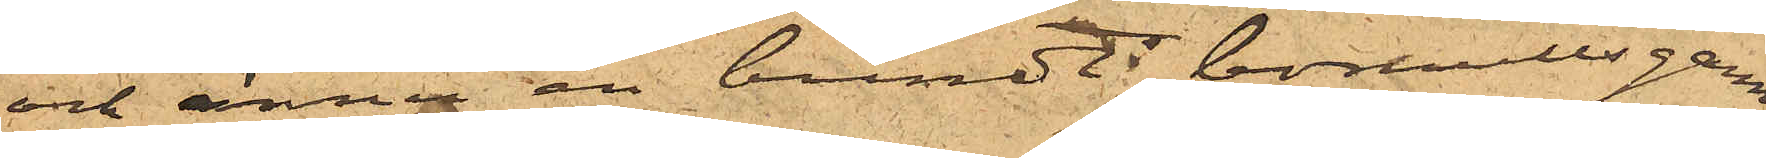och ännu en bundt bomullsgarn
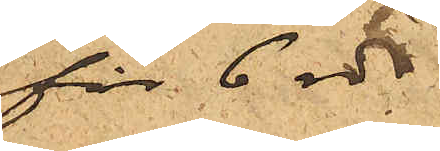för 6 rdr.
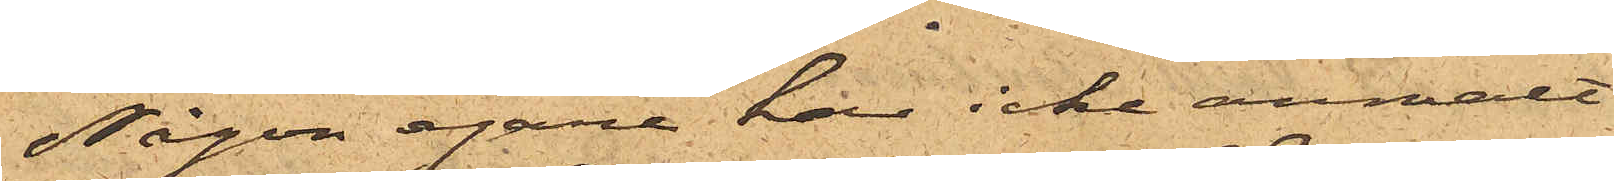Någon egare har icke anmält
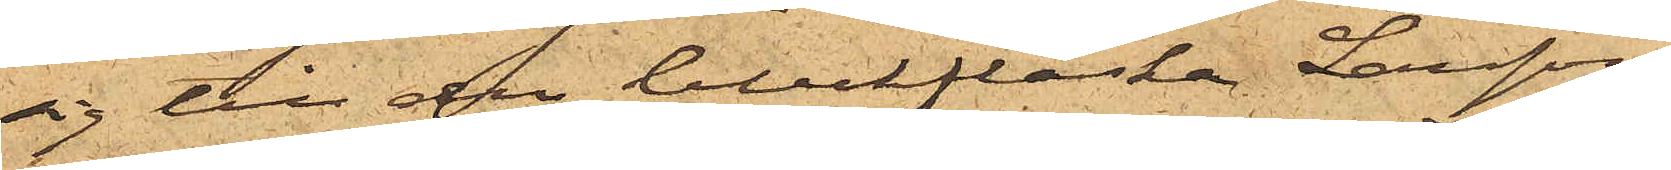sig till den bleckflaska Larsson
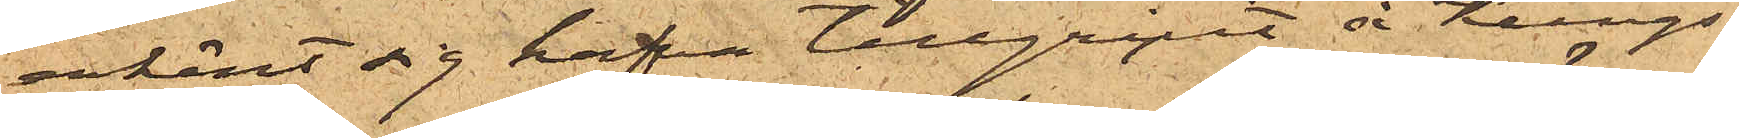erkänt sig hafva tillgripit å Kungs¬
